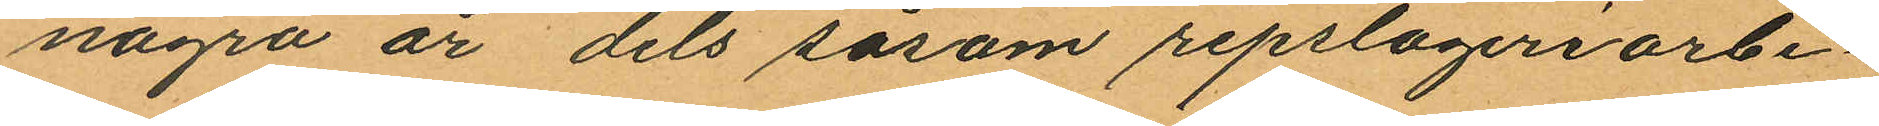några år dels såsom repslageriarbe¬
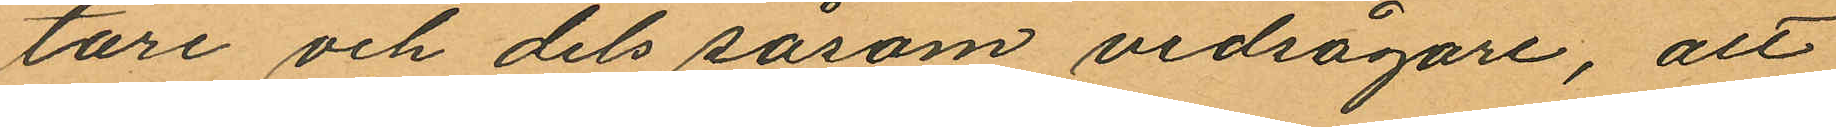tare och dels såsom vedsågare, att
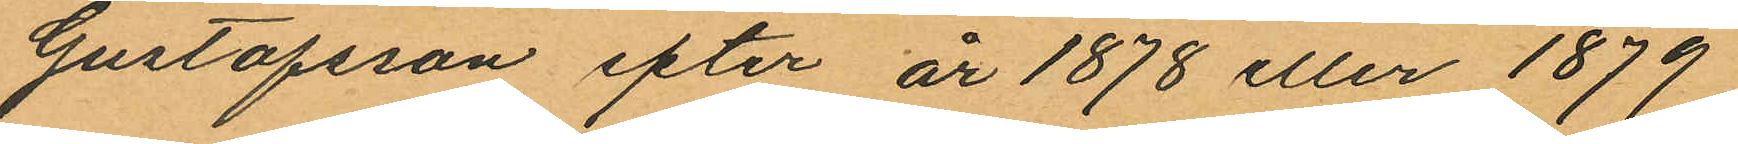Gustafsson efter år 1878 eller 1879
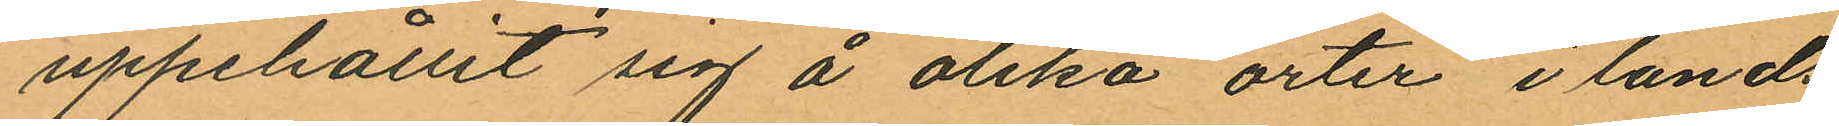uppehållit sig å olika orter i lands
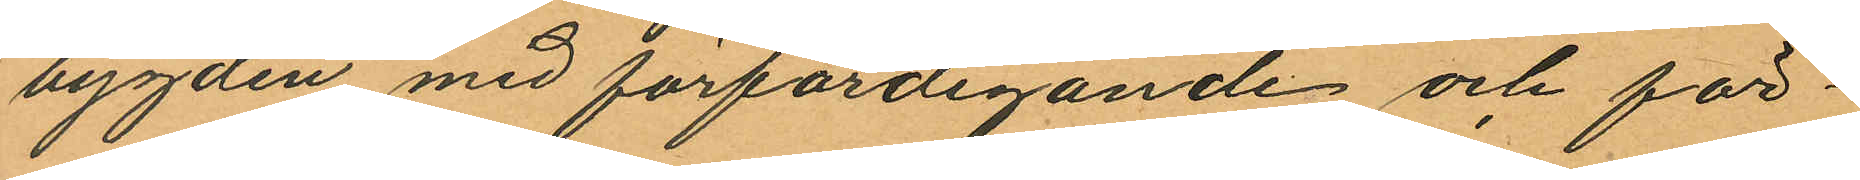bygden med förfärdigande och för¬
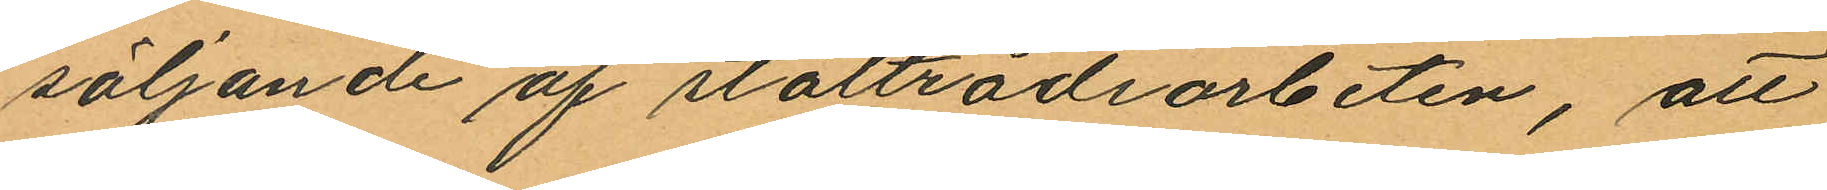säljande af ståltrådsarbeten, att
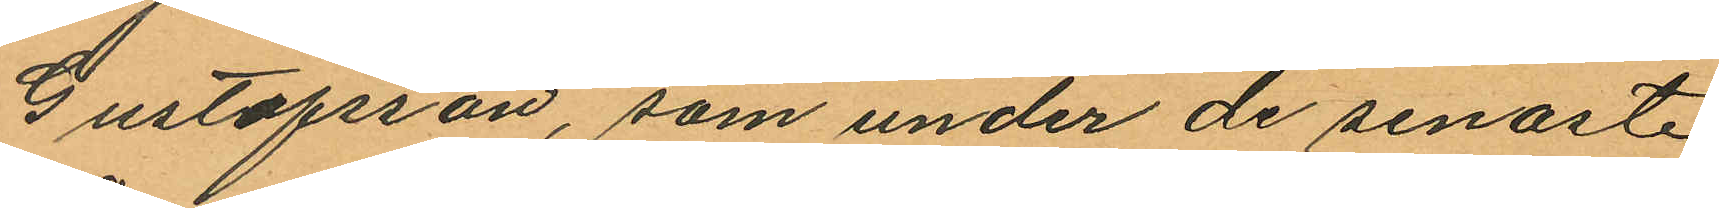Gustafsson, som under de senaste
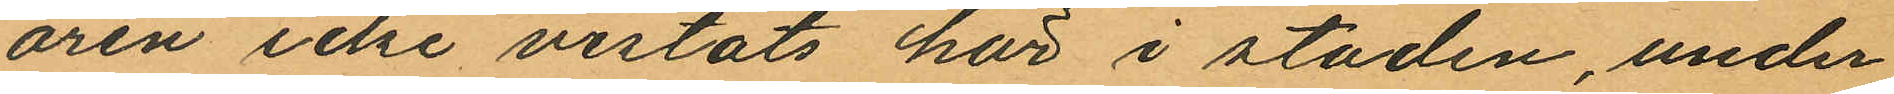åren icke vistats här i staden, under
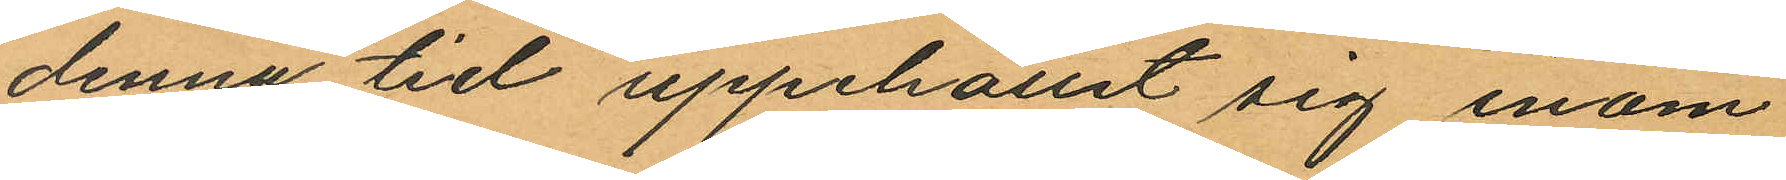denna tid uppehållit sig inom
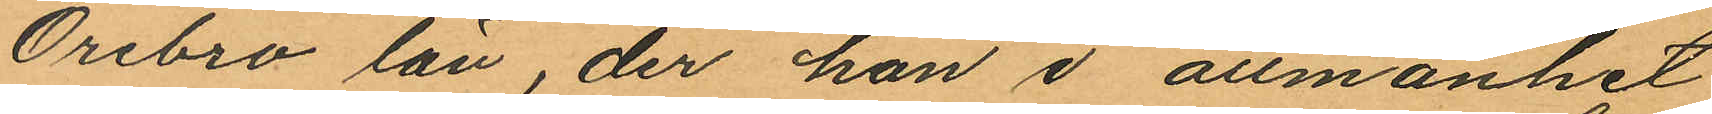Örebro län, der han i allmänhet
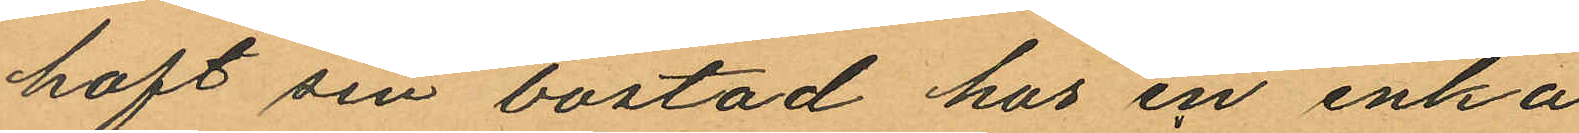haft sin bostad hos en enka
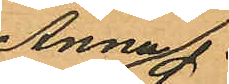Anna
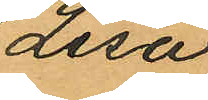Lisa
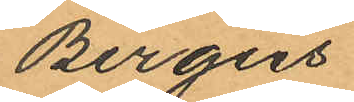Bergers
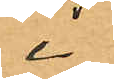i
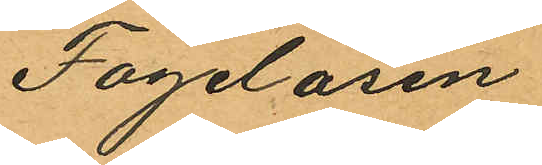Fogelåsen
